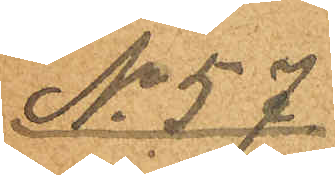No 57
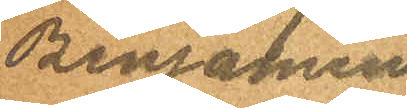Benjamin
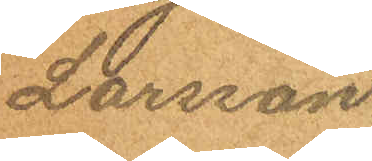Larsson.
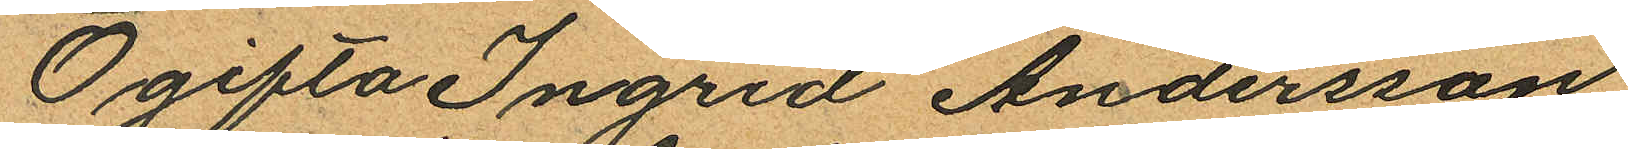Ogifta Ingrid Andersson
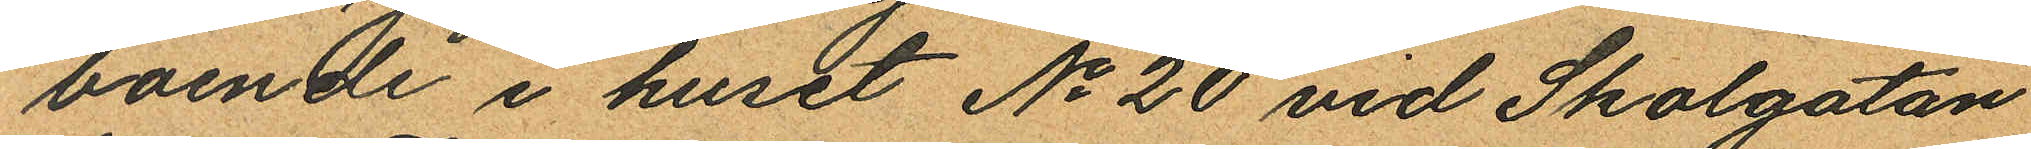boende i huset No 20 vid Skolgatan
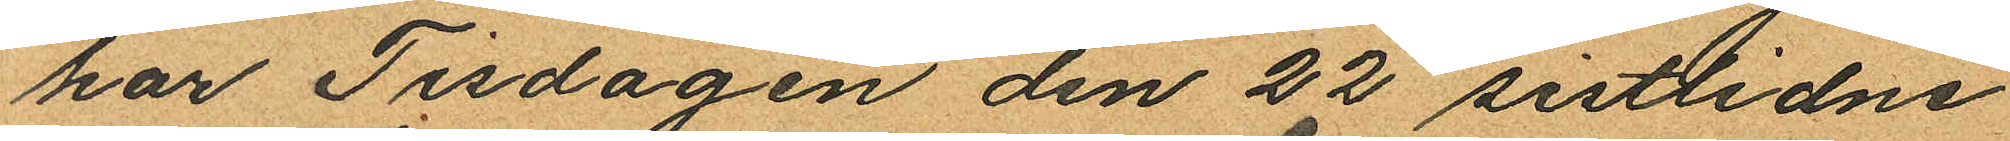har Tisdagen den 22 sistlidne
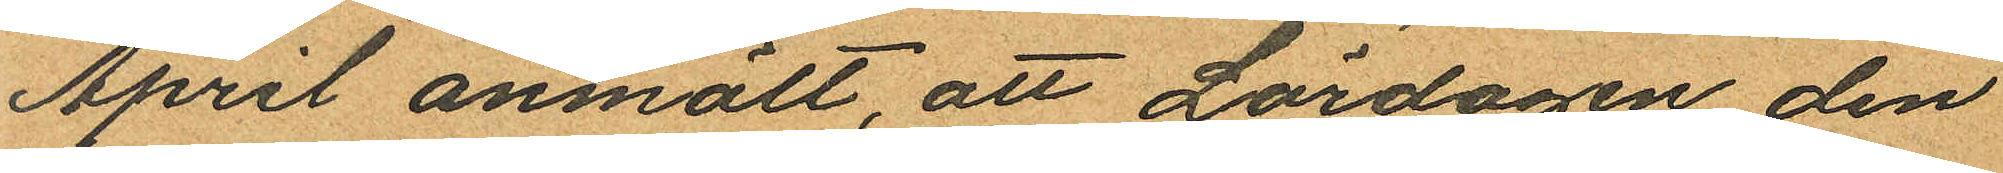April anmält, att Lördagen den
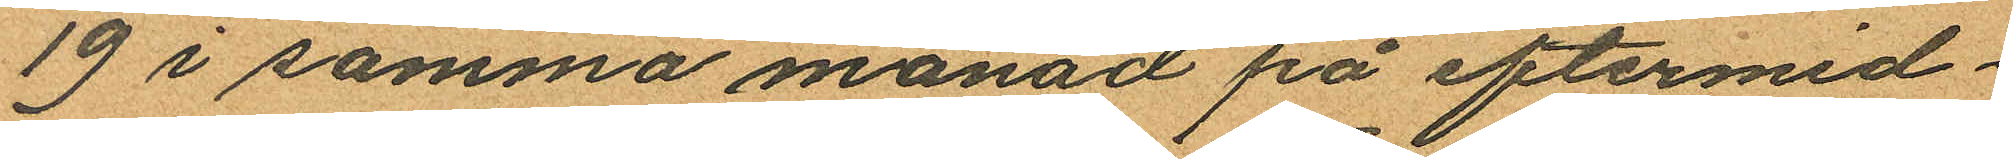19 i samma månad på eftermid¬
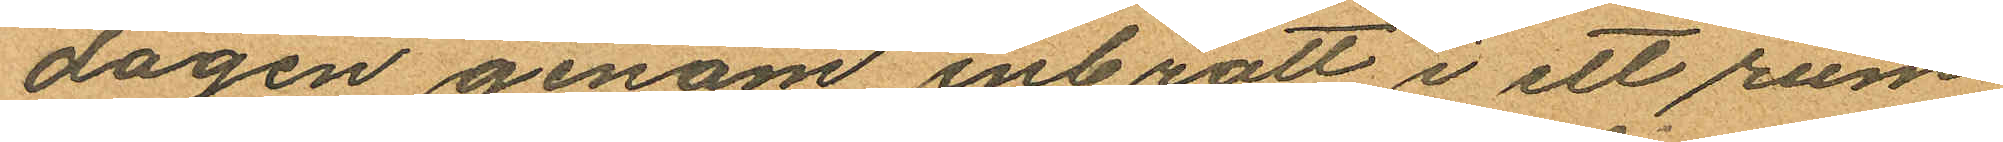dagen genom inbrott i ett rum
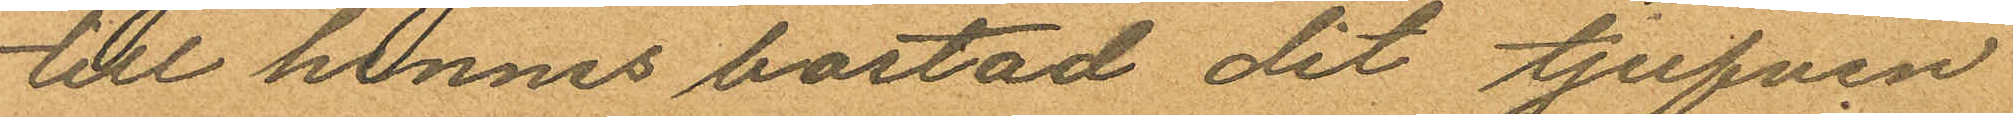till hennes bostad dit tjufven
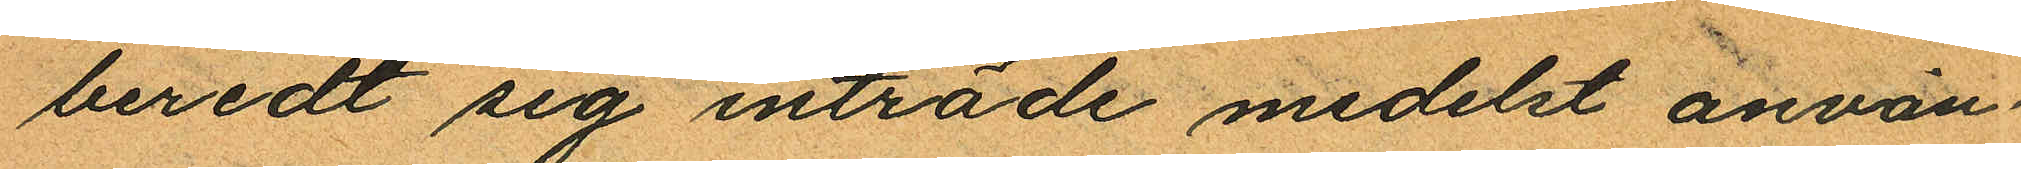beredt sig inträde medelst använ
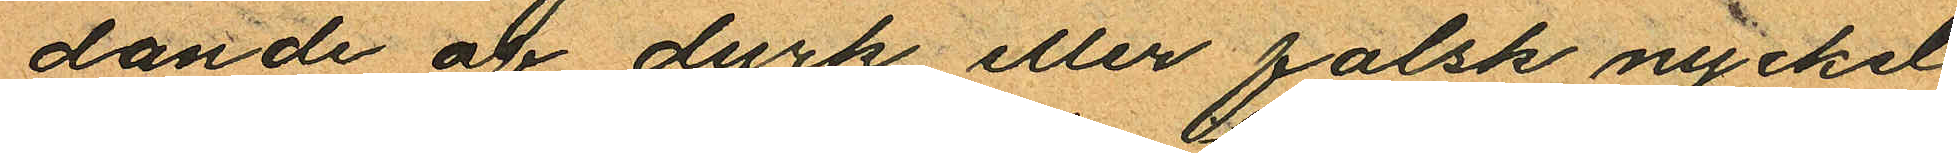dande af dyrk eller falsk nyckel
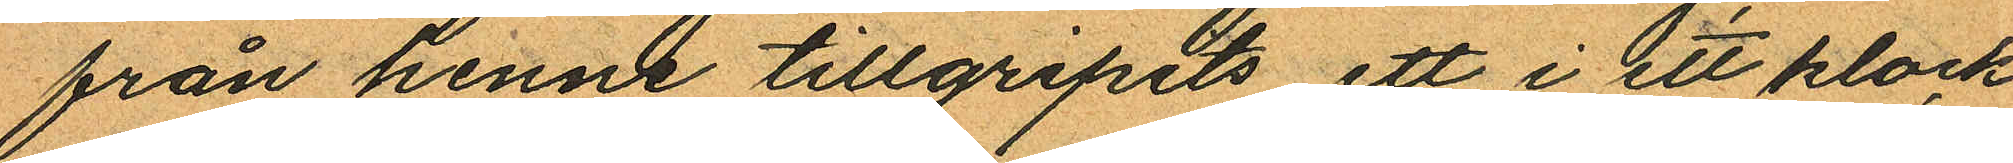från henne tillgripits ett i ett klock
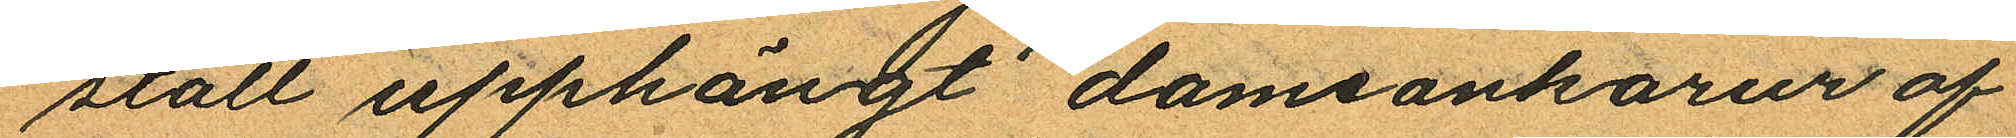ställ upphängt dameankarur af
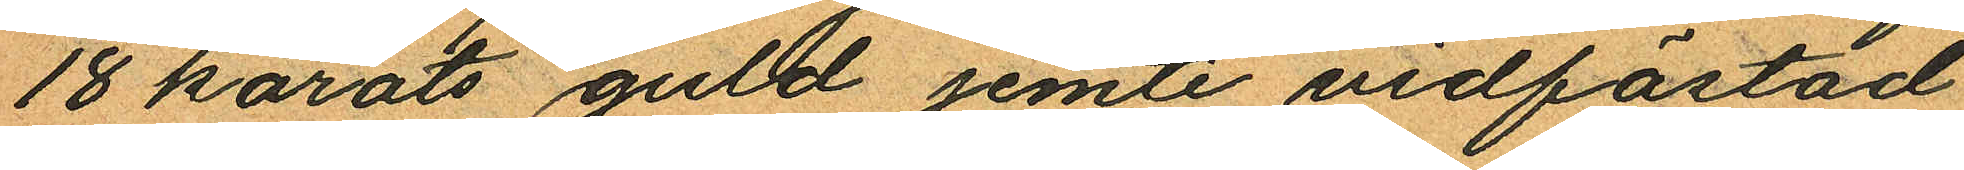18 karats guld jemte vidfästad
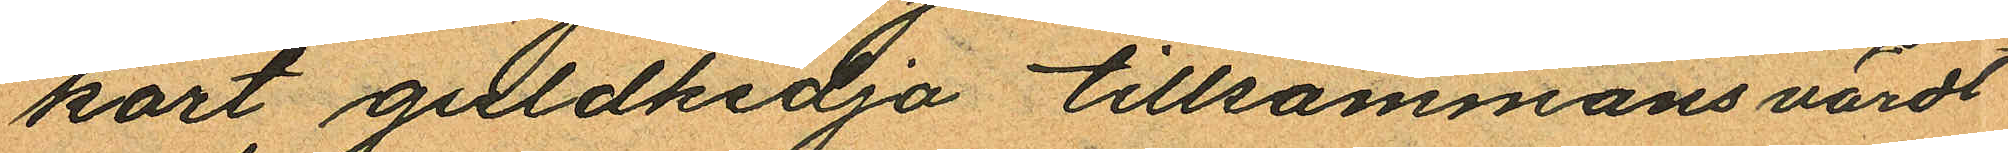kort guldkedja tillsammans värdt
